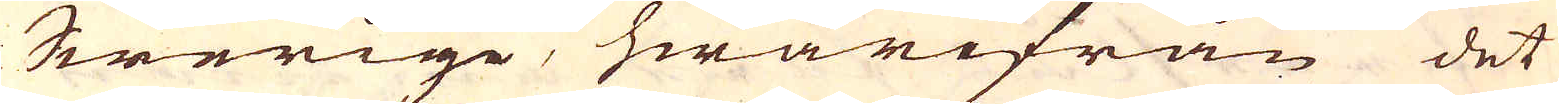Swerige, hwarifrån det
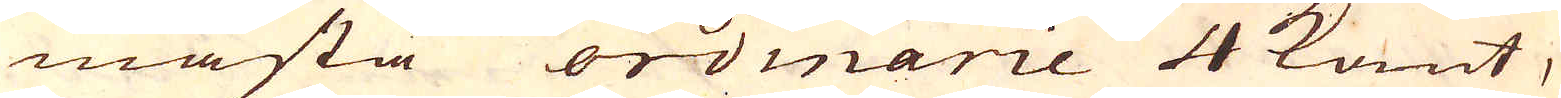mästa ordnarie 4 kant,
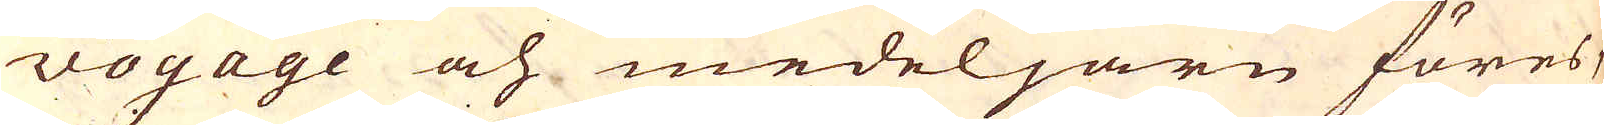vogage och medeljärn föres,
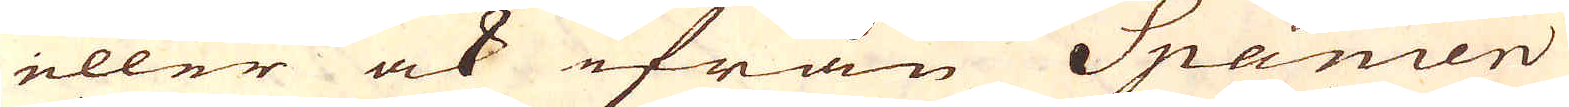eller ock ifrån Spanien
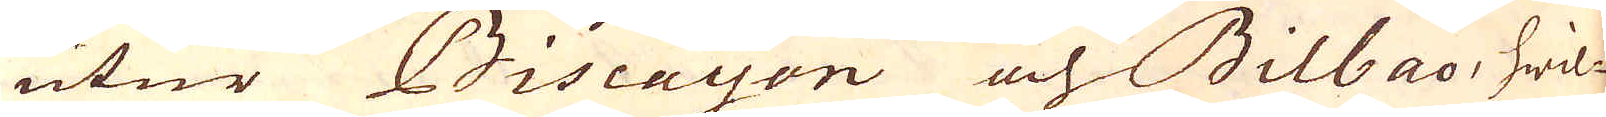utur Biscayen och Bilbao, hwil-
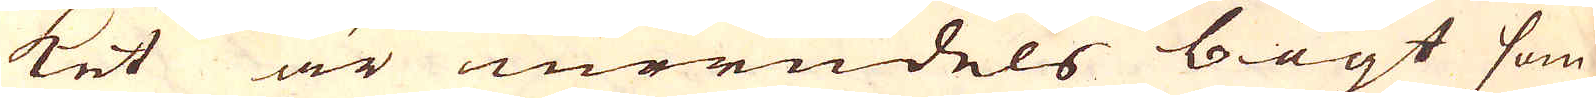ket är merendels bögt som
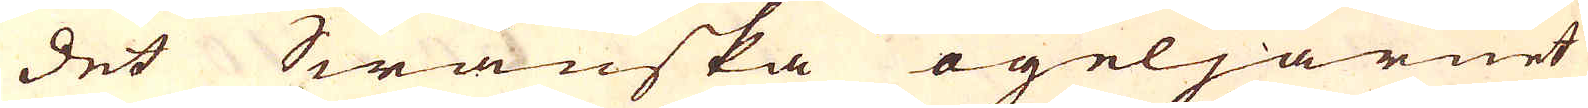det Swänska ögeljärnet
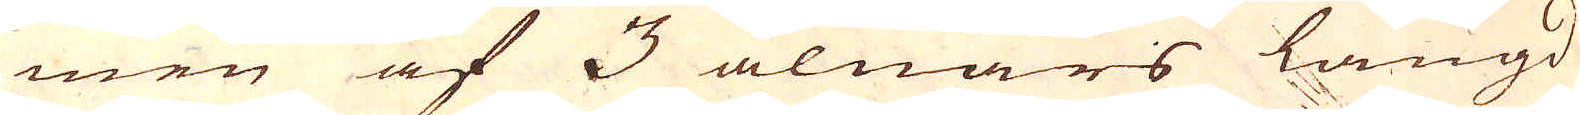men af 3 alnars längd
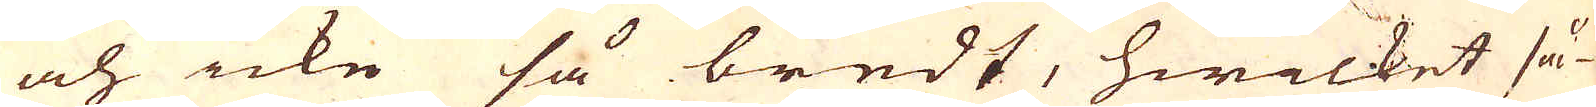och icke så bredt, hwilket så-
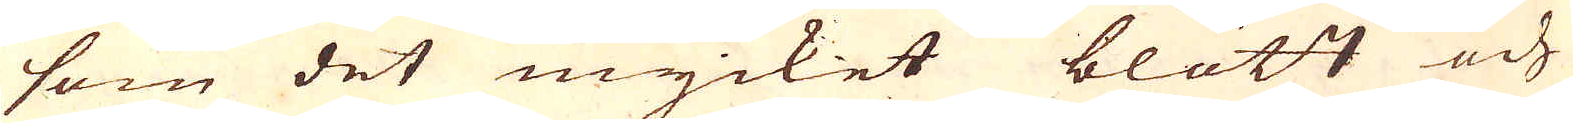som det mycket blött och
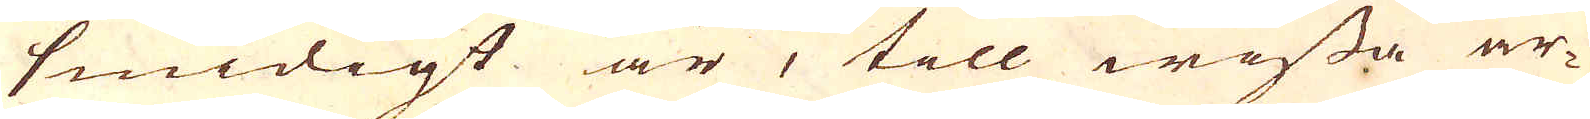smidigt är, till wissa ar-
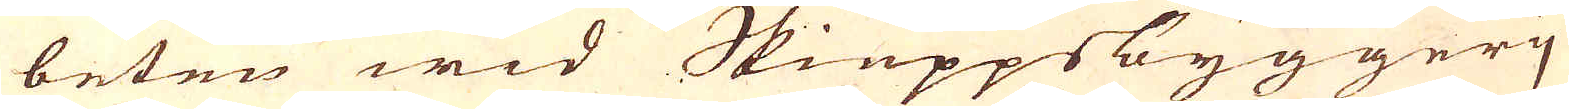beten wid Skieppsbyggerj
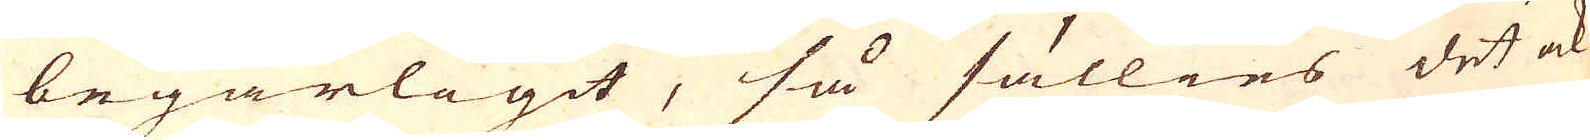begärligit, så sällies det ock
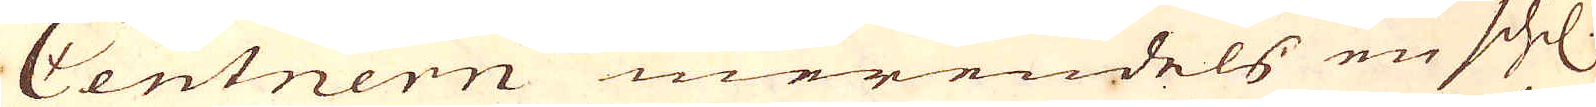Centnern merendels en schil.
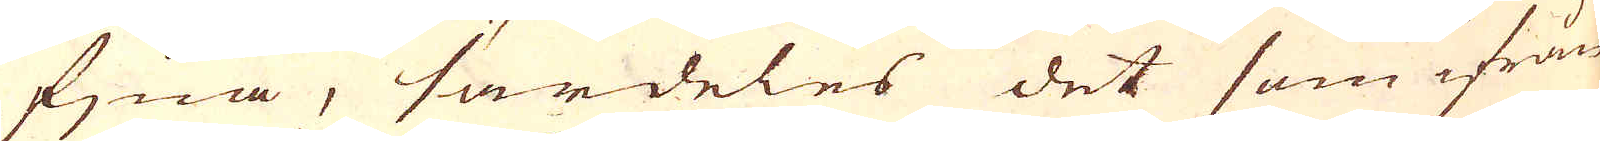fjna, särdeles det som ifrån
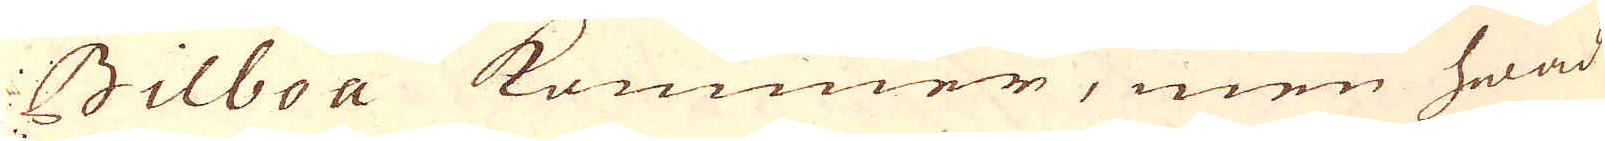Bilboa kommer, men hwad
